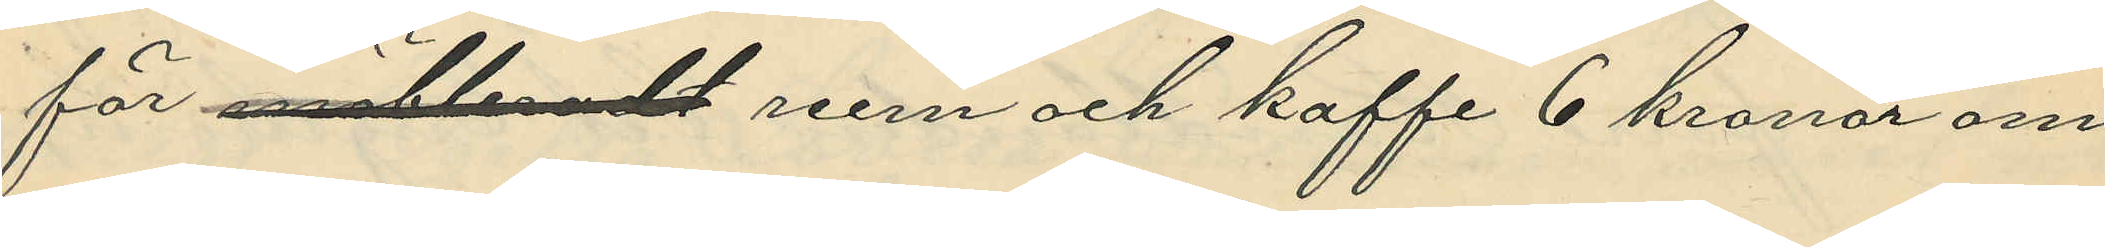för möbleradt rum och kaffe 6 kronor om
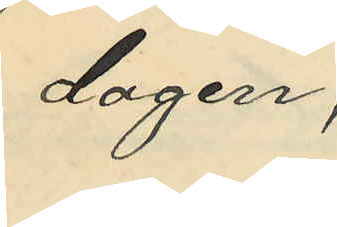dagen;
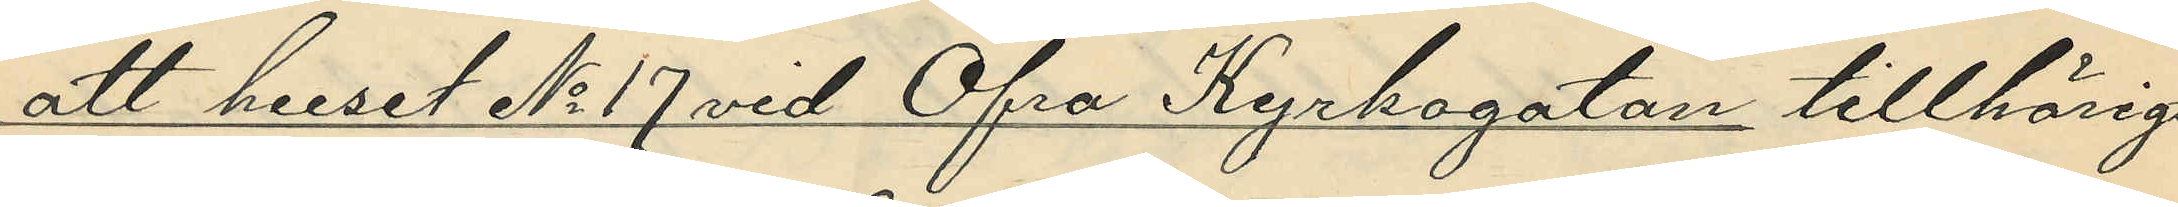att huset No 17 vid Öfra Kyrkogatan tillhörigt
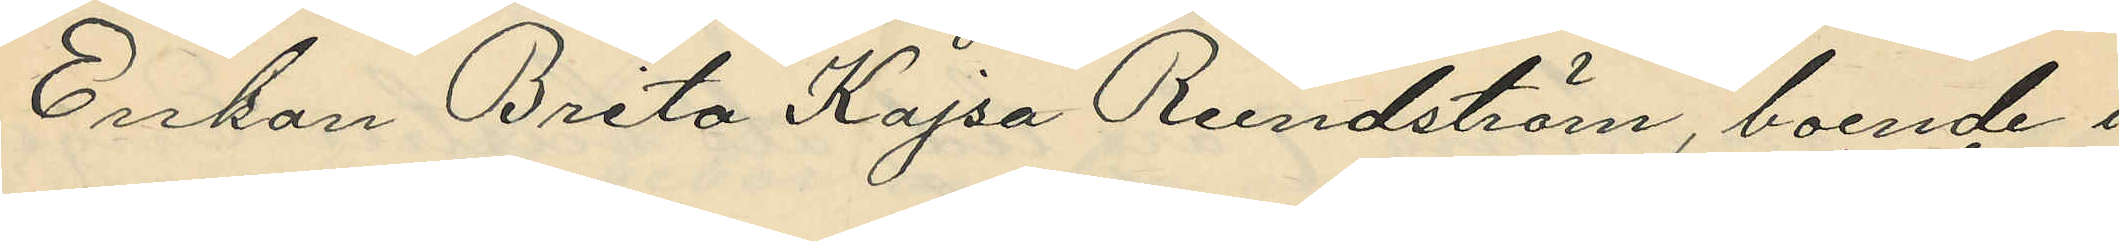Enkan Brita Kajsa Rundström, boende i
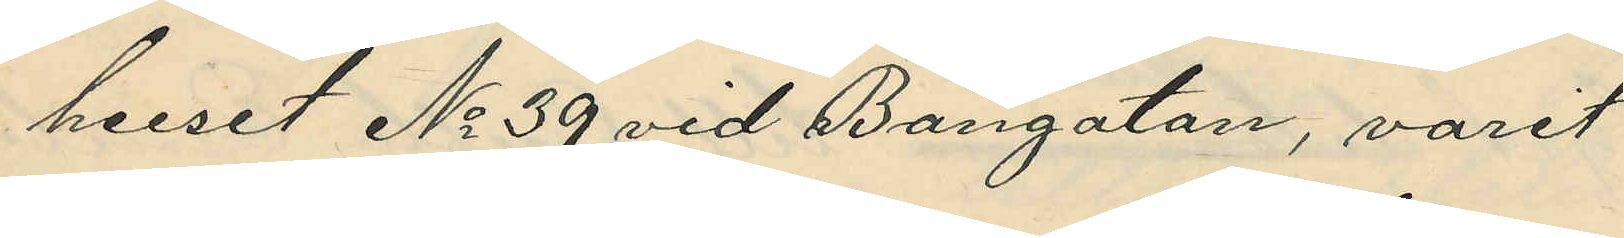huset No 39 vid Bangatan, varit
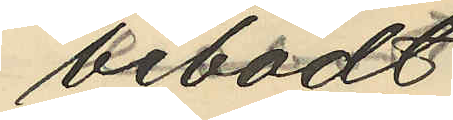bebodt
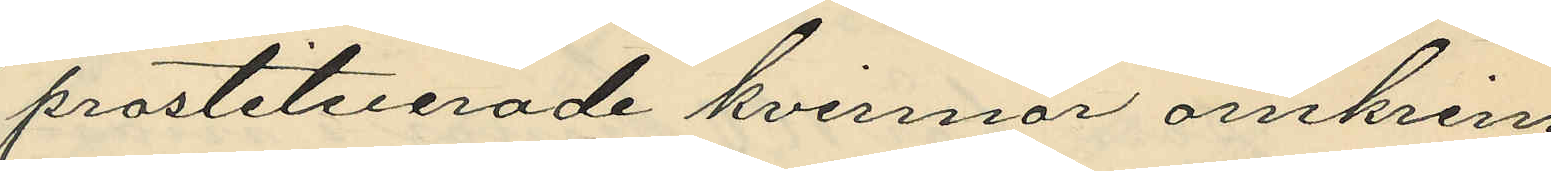prostituerade kvinnor omkring
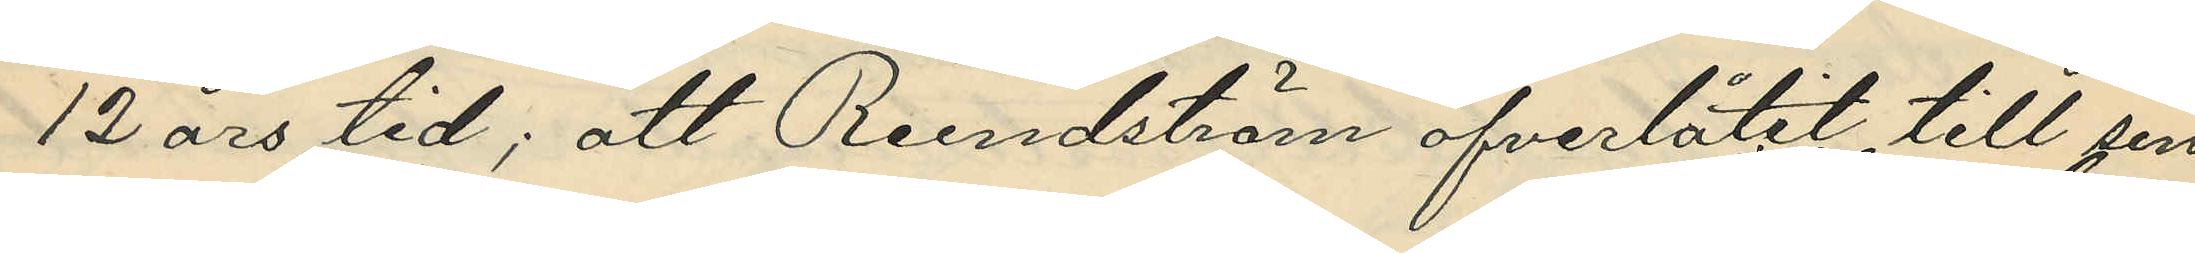12 års tid; att Rundström öfverlåtit till sin
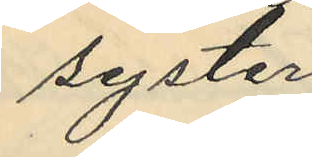syster
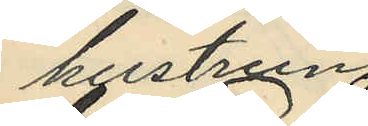hustrun
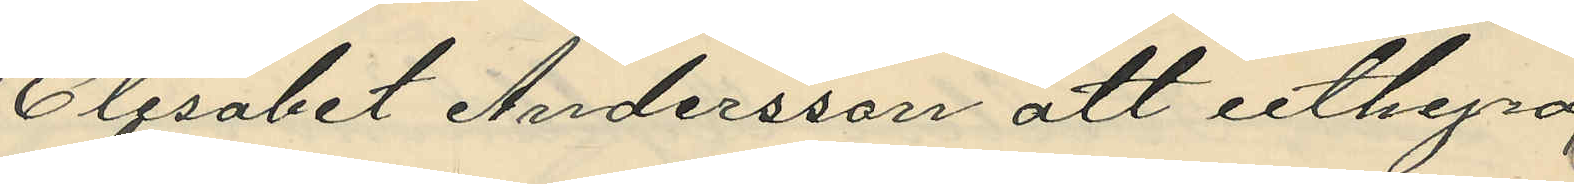Elisabet Andersson att uthyra
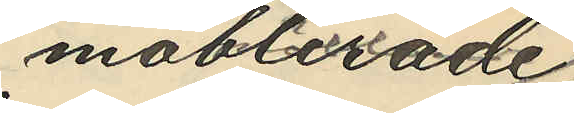möblerade
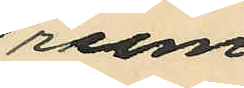rum
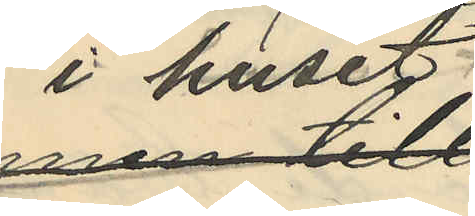i huset
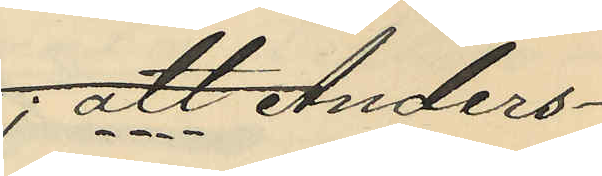; att Anders¬
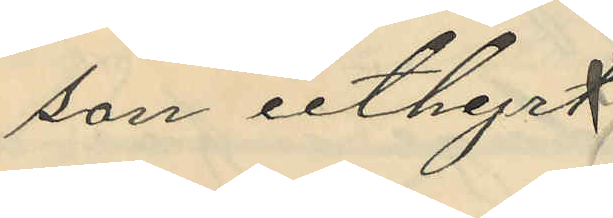son uthyrt
